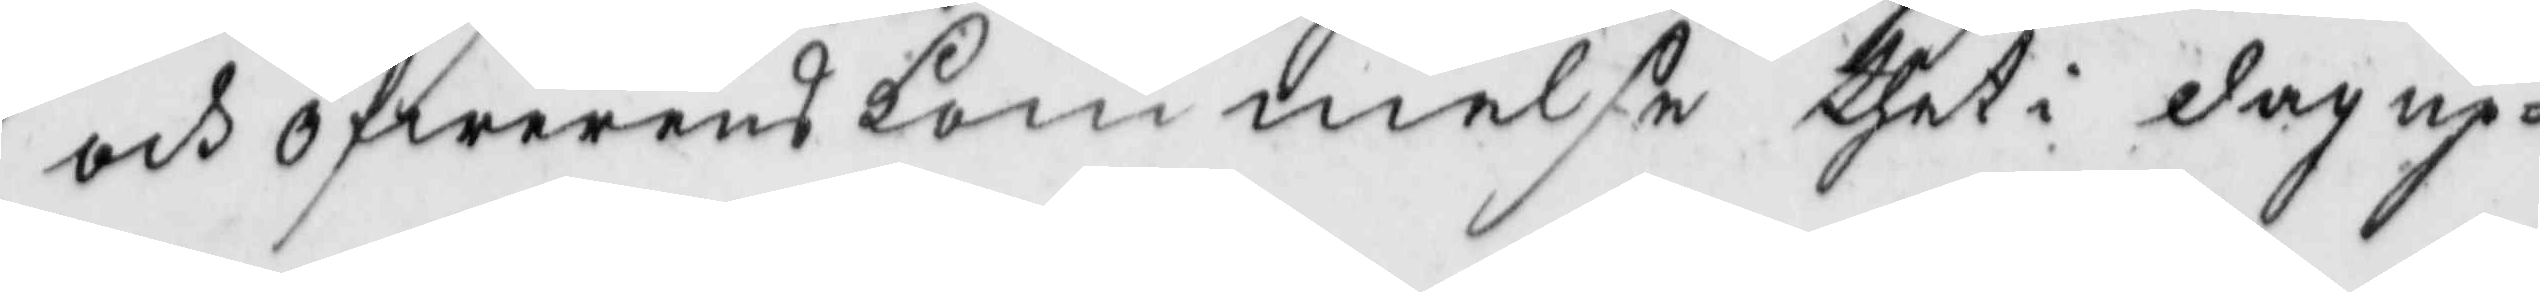och öfwerenskommande thet i dag up¬
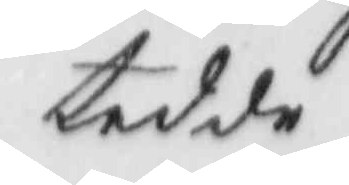tedde
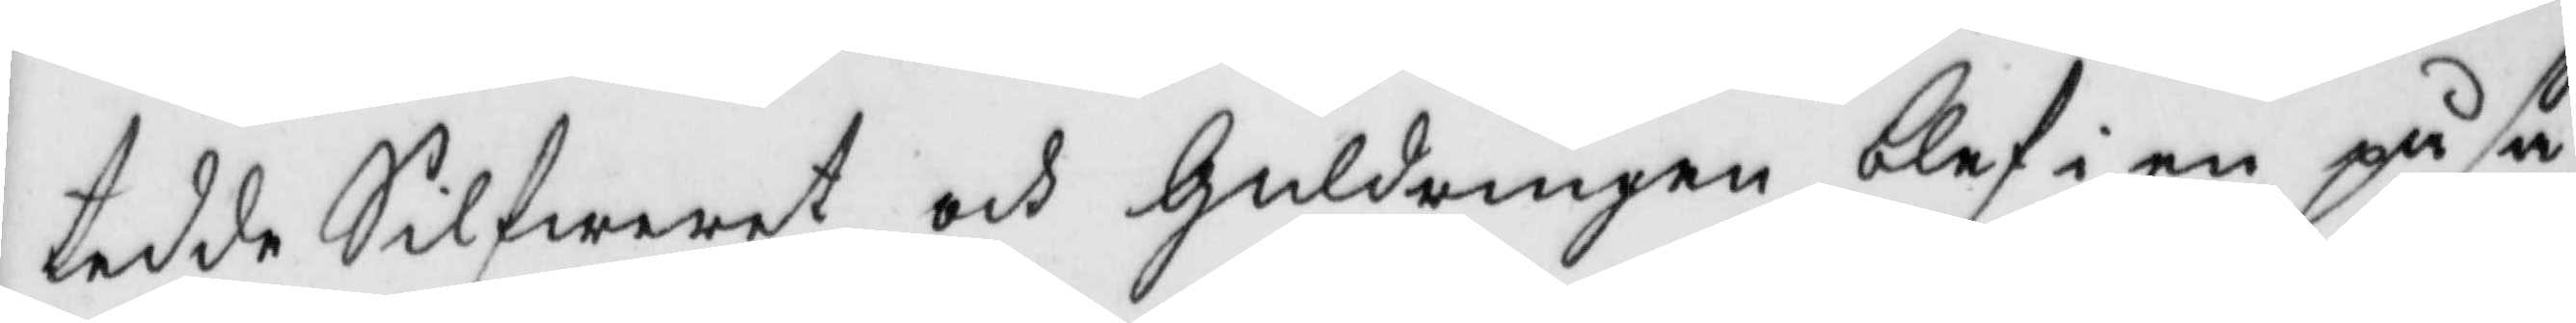tedde Silfweret och Guldringen blef i en påse
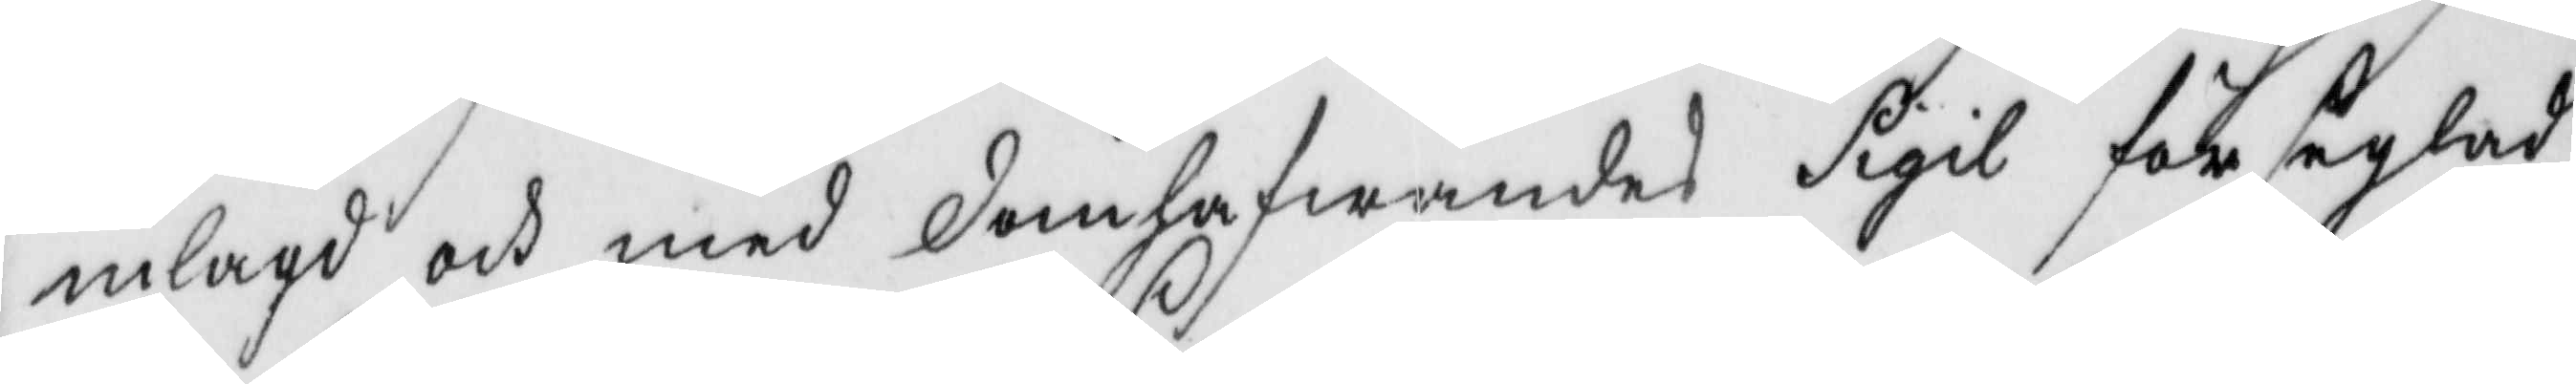inlagd och med domhafwandes Sigil förseglad
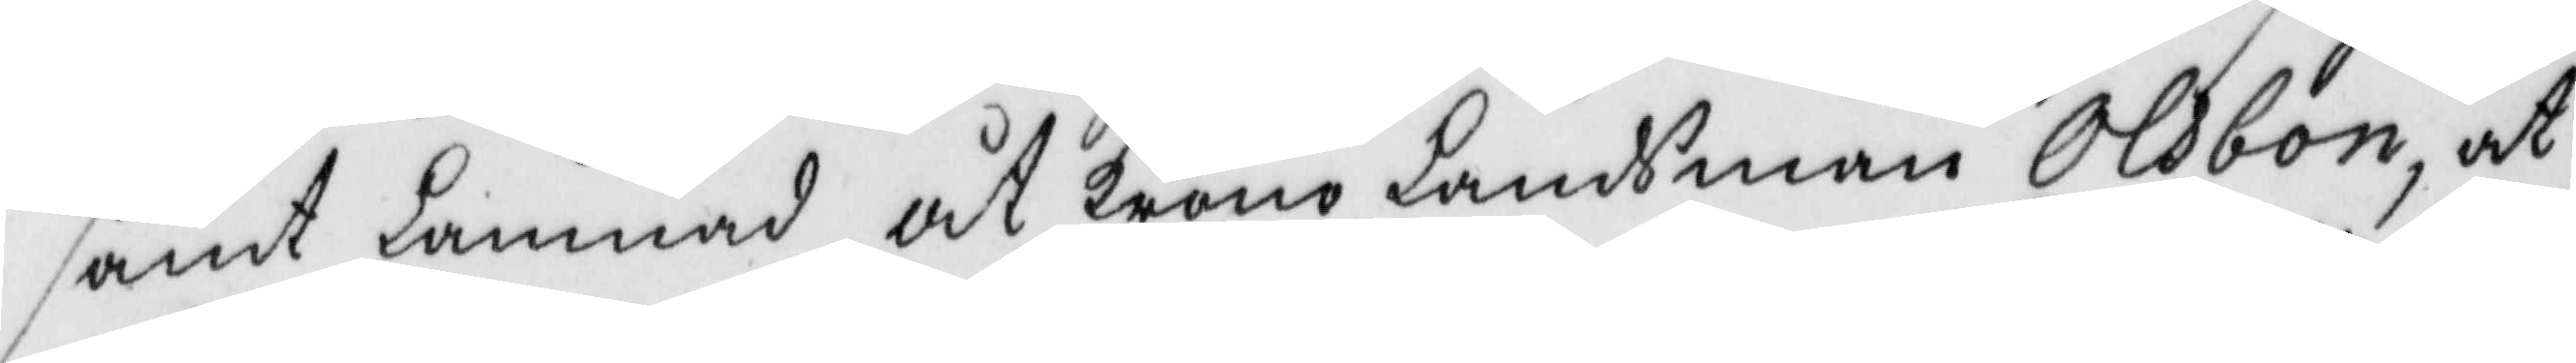samt lämnad åt KronoLändsman Olsbon, at
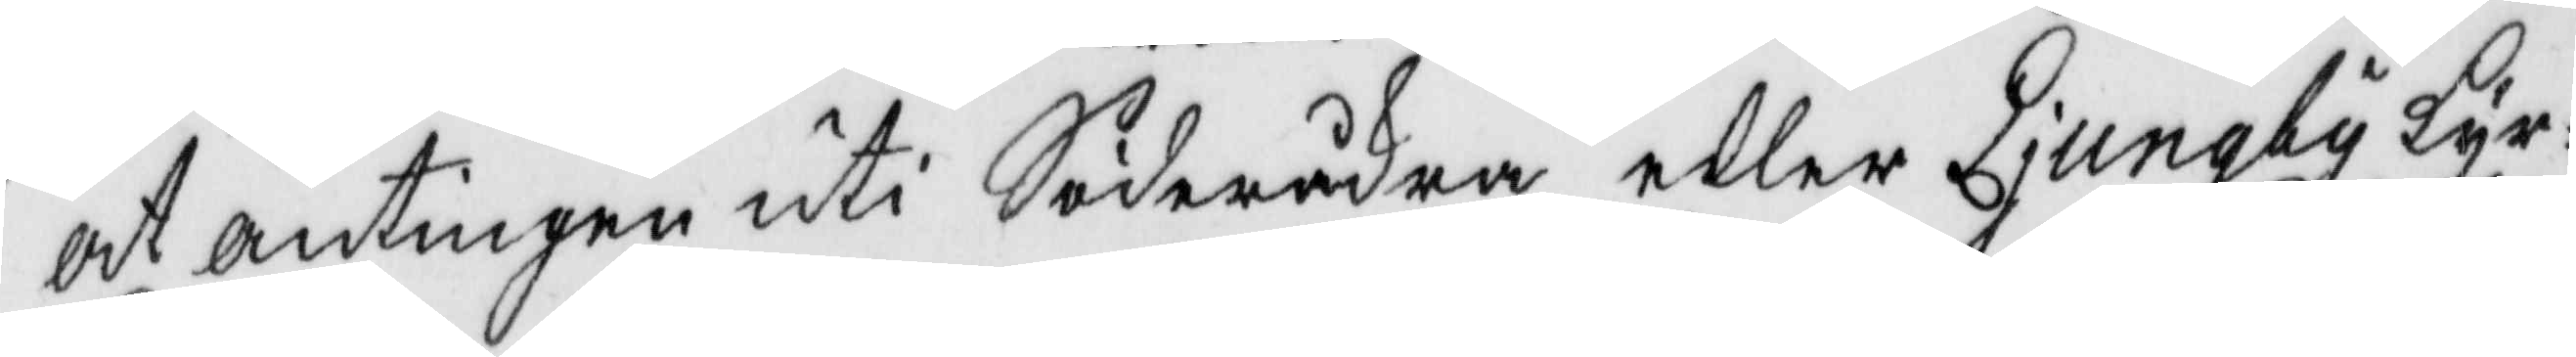at antingen uti Söderäkra eller Ljungby kyr¬
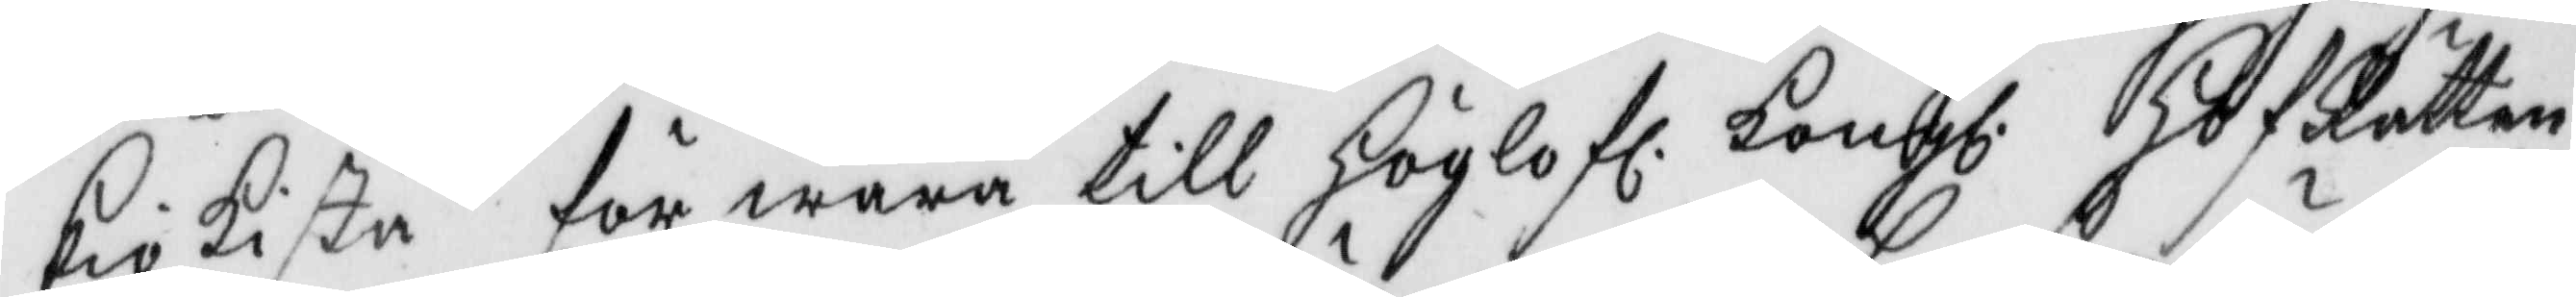kiokista för wara till Höglofl. Kongl. HofRätten
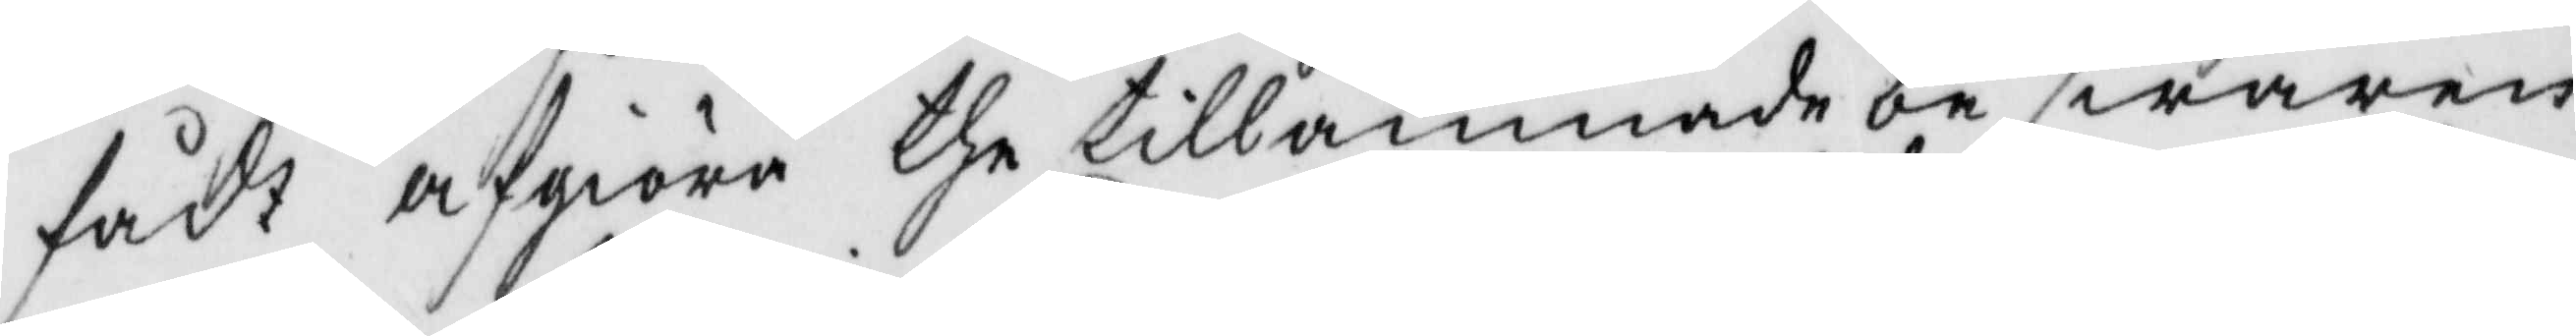fådt afgiöra the tillämnade beswären
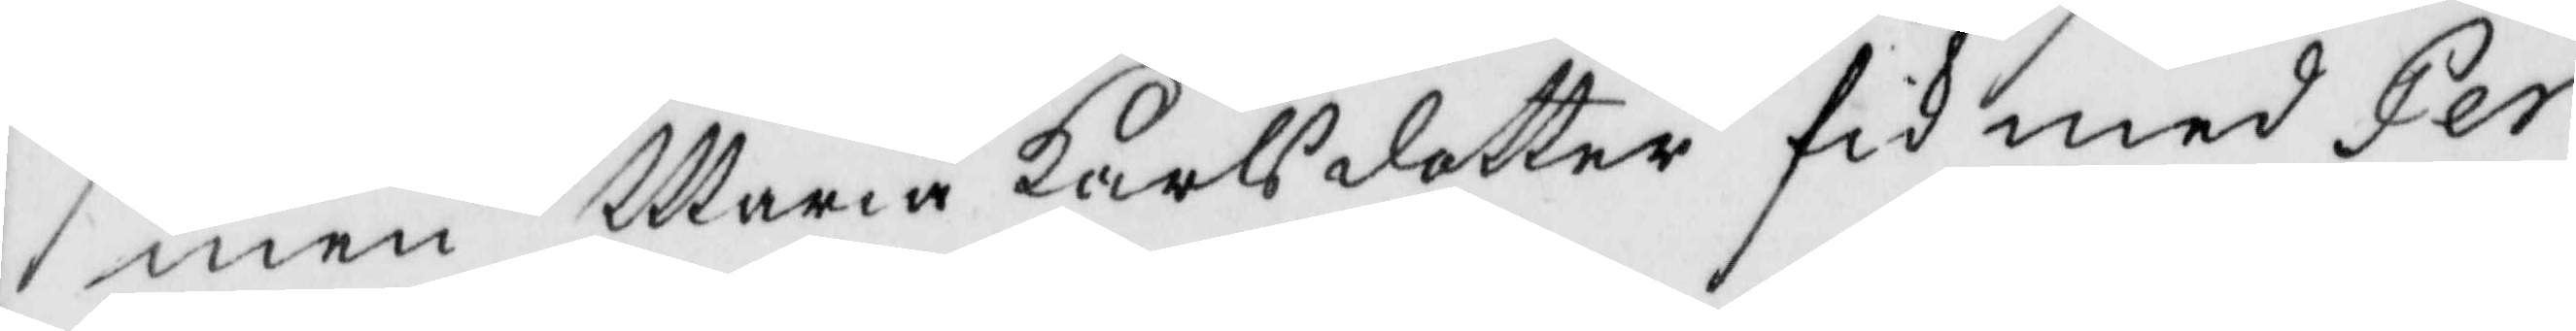men Maria Karlsdotter fik med Per
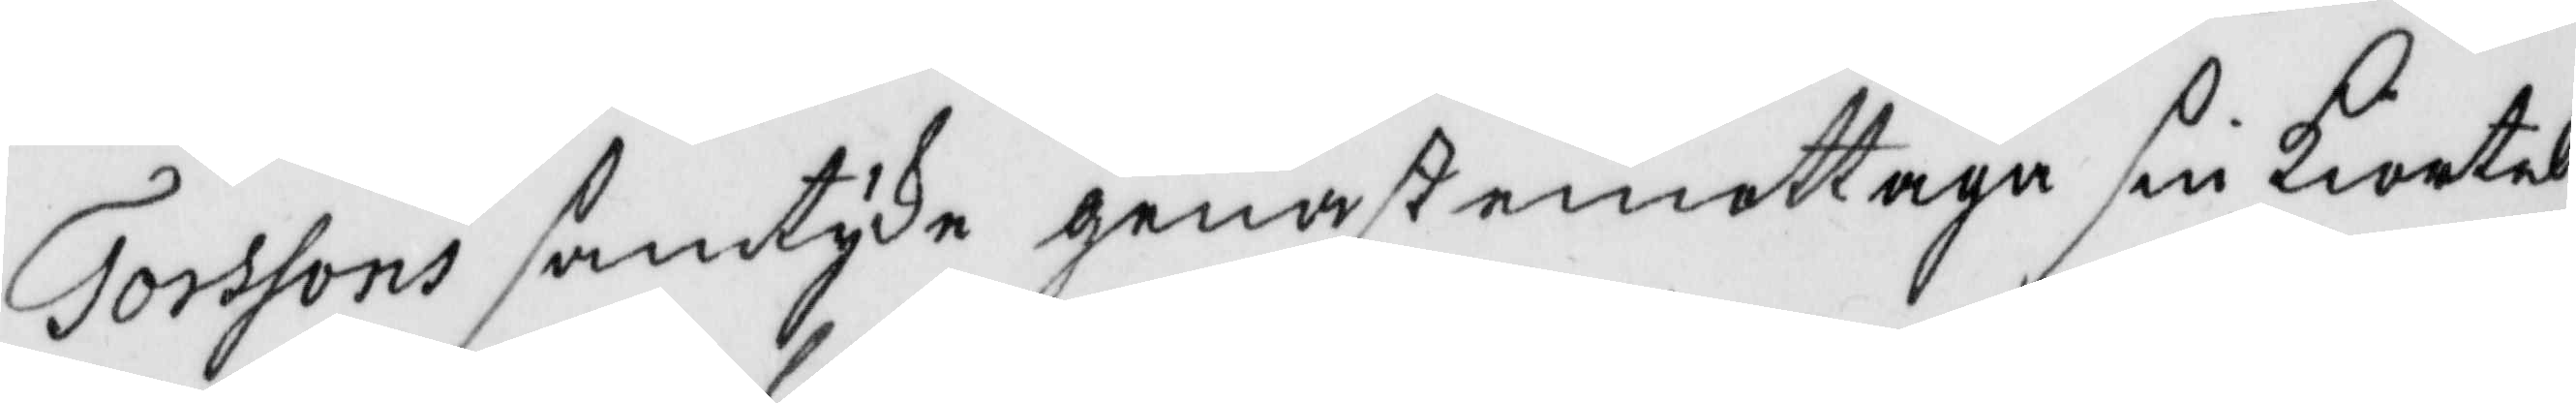Torssons samtyke genast emottaga sin kiortel
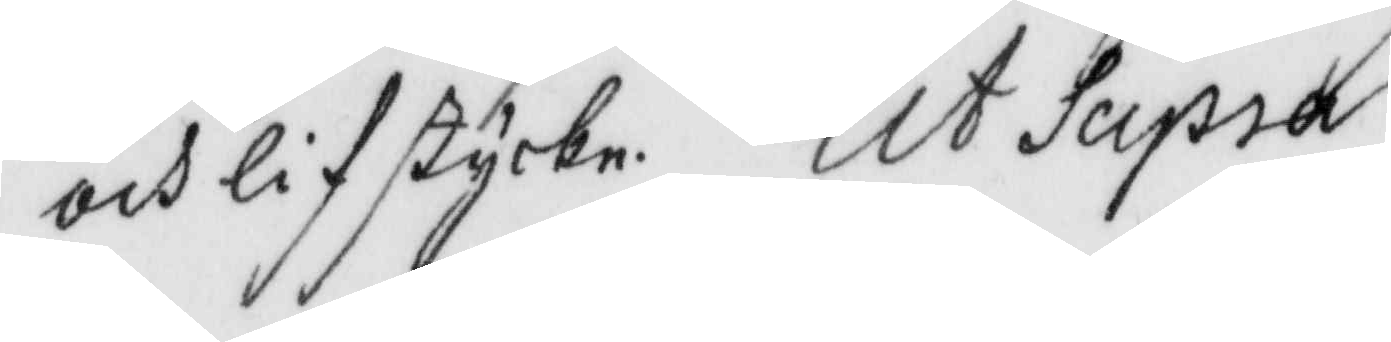och lifstycke. Ut Supra
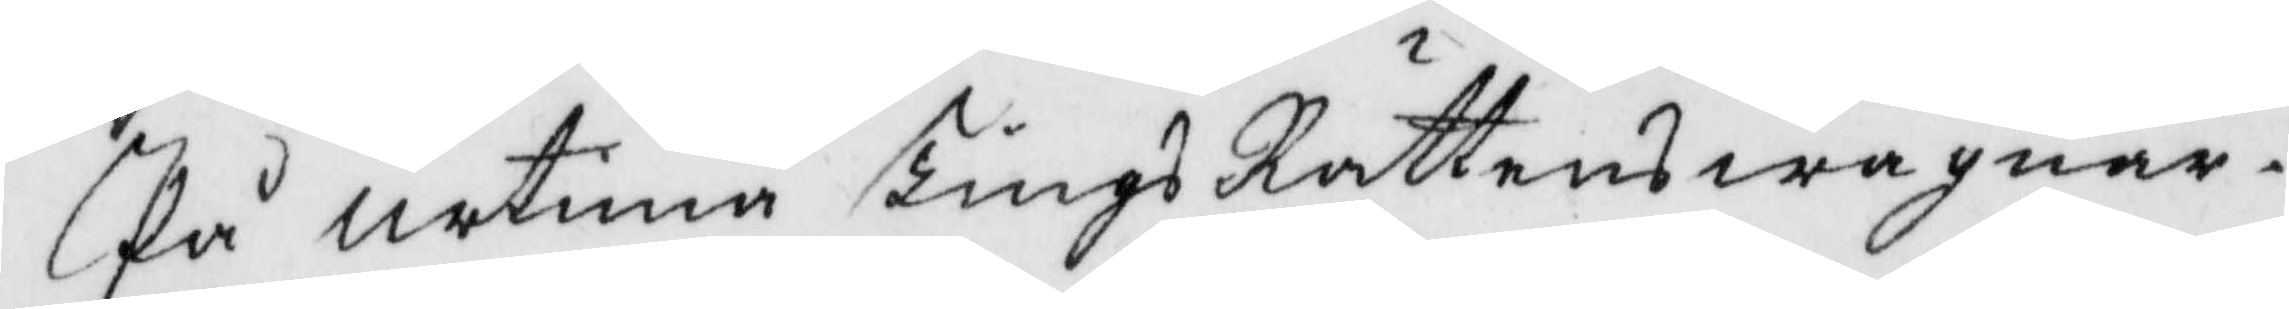På urtima TingsRättens wägnar.
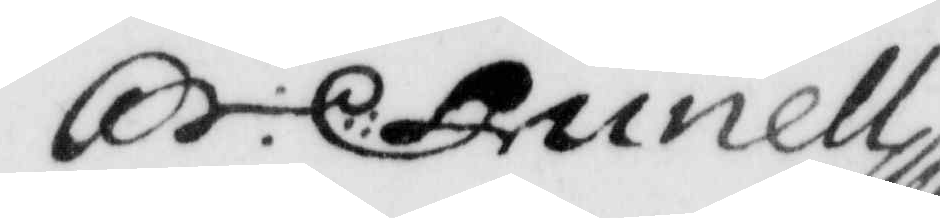S: C: Lunell
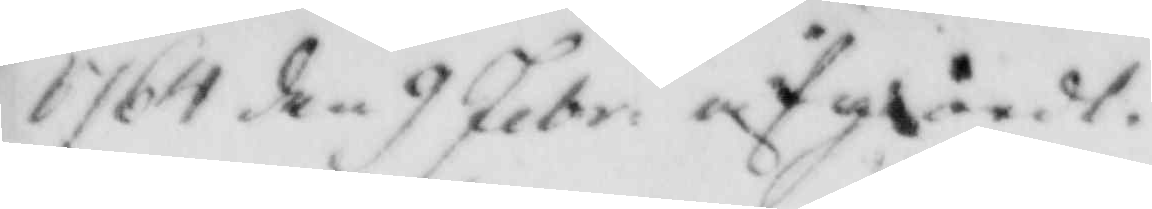1764 den 9 Febr: afgående
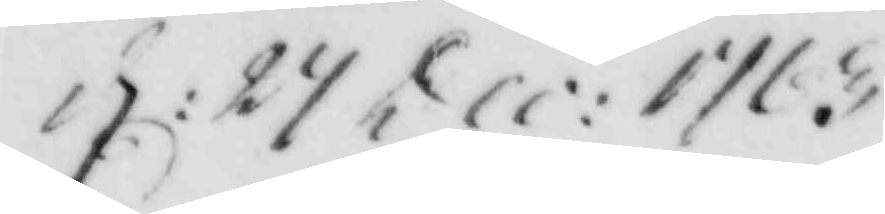d: 24 Dec 1763
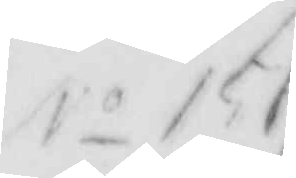No 151
